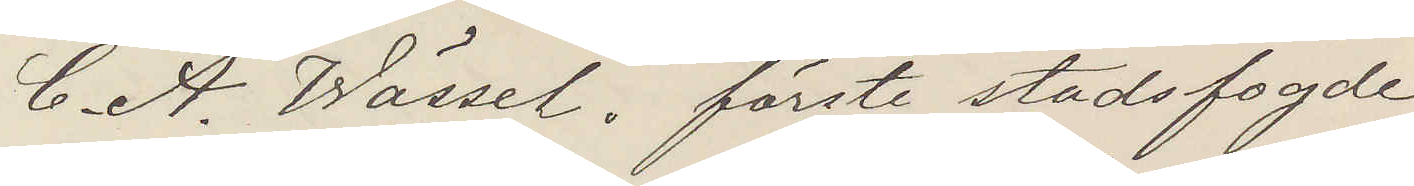C. A. Wässel. förste stadsfogde
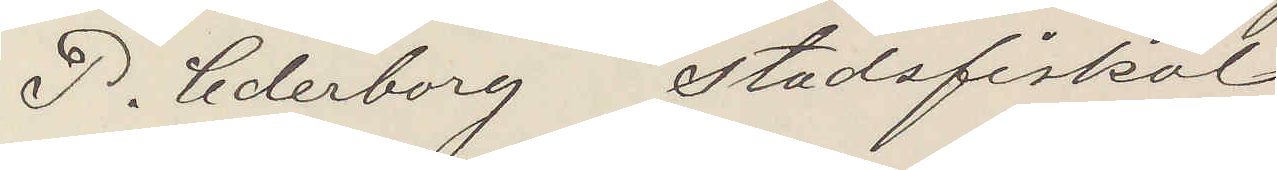P. Cederborg Stadsfiskal
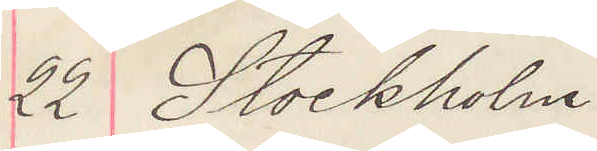22 Stockholm
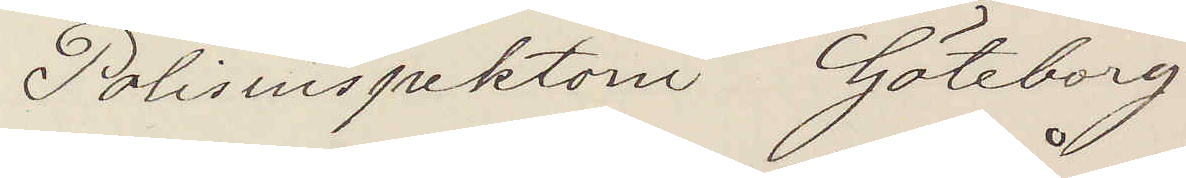Polisinspektorn Göteborg
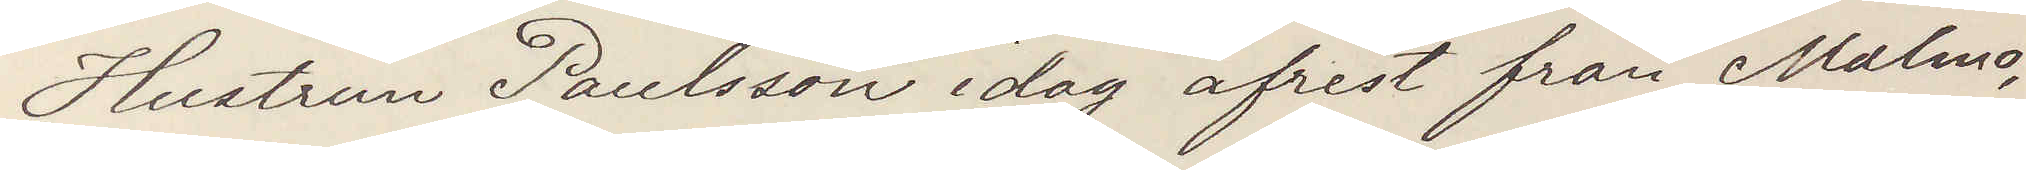Hustrun Paulsson idag afrest från Malmö
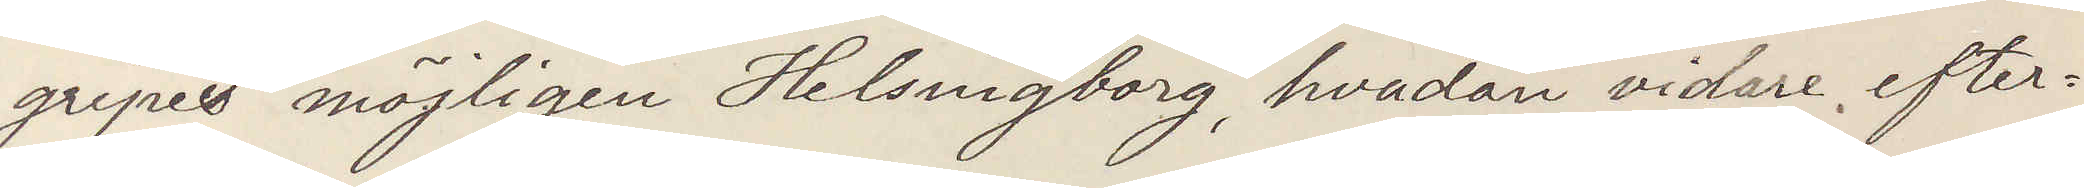gripes möjlighen i Helsingborg, hvadan vidare efter¬
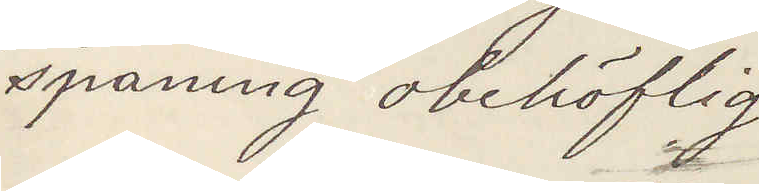spaning obehöflig
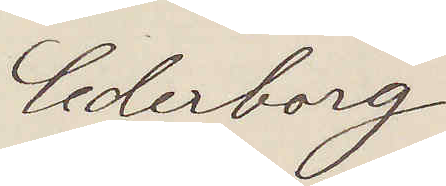Cederborg
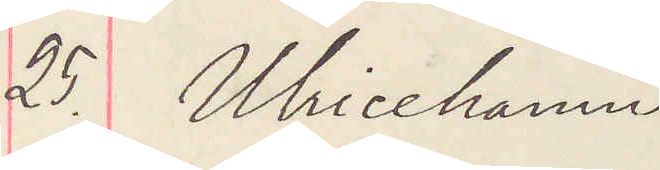25. Ulricehamn
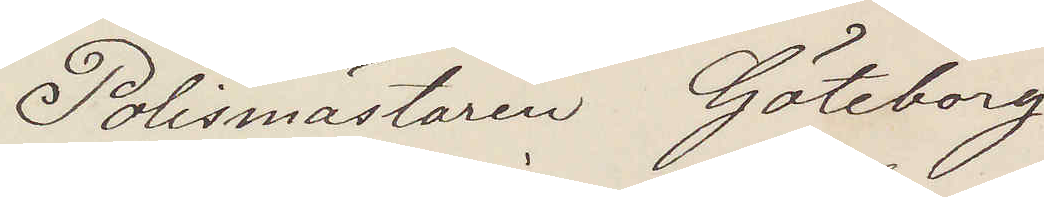Polismästaren Göteborg
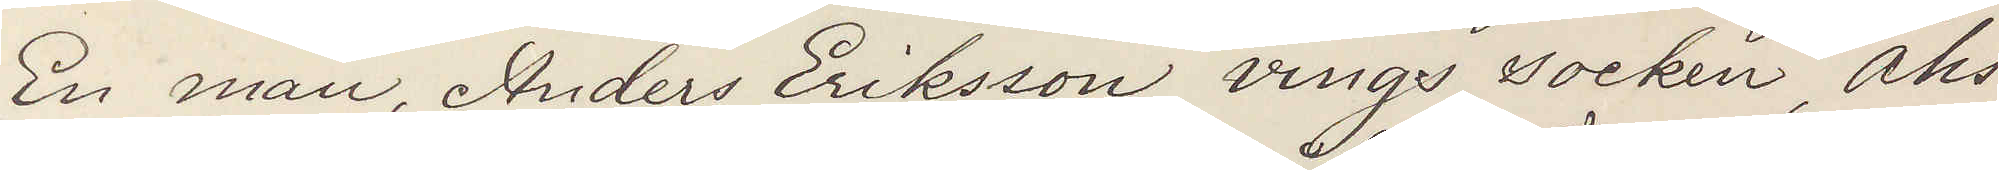En man, Anders Eriksson vings socken, Åhs
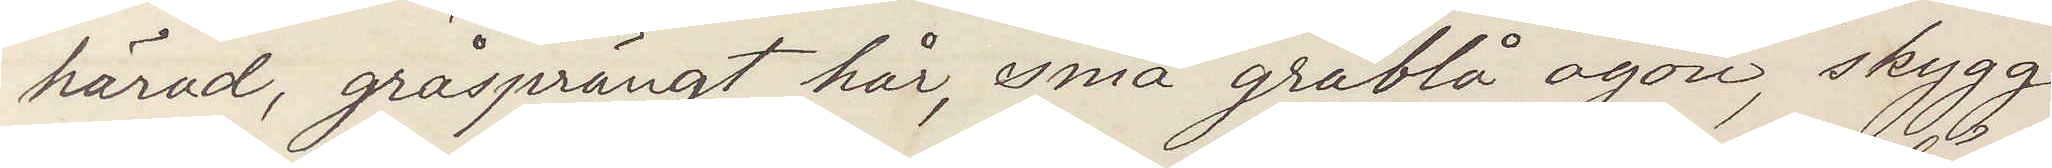härad, gråsprängt hår, små gråblå ögon, skygg
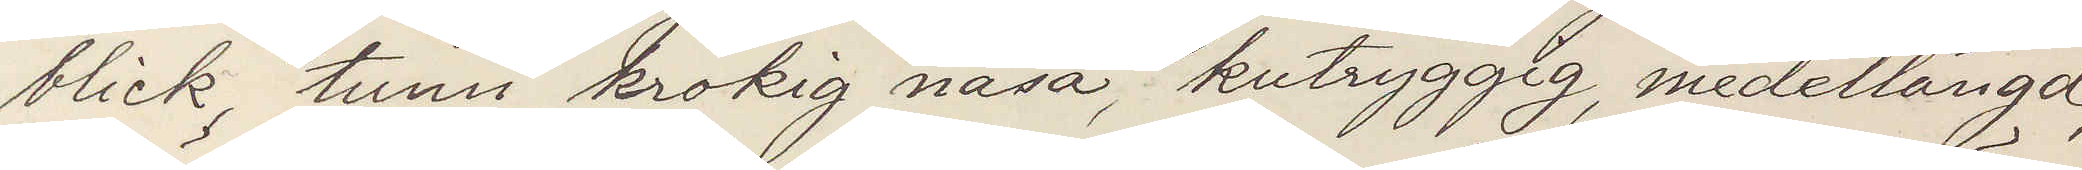blick, tunn, krokig näsa, kutryggig, medellängd,
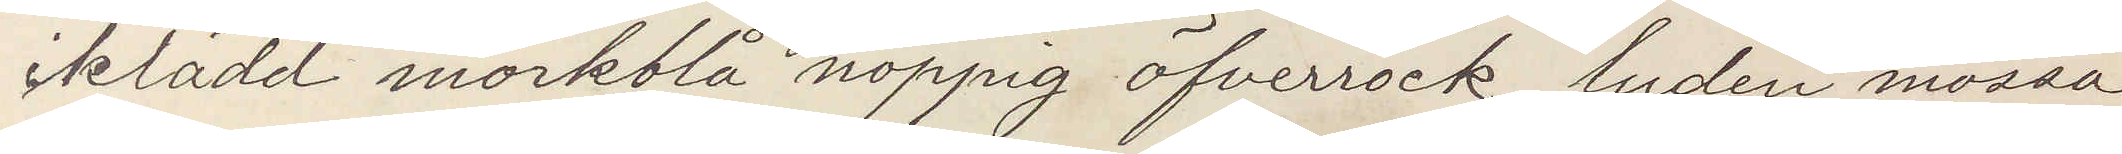iklädd mörkblå noppig öfverrock, luden mössa,
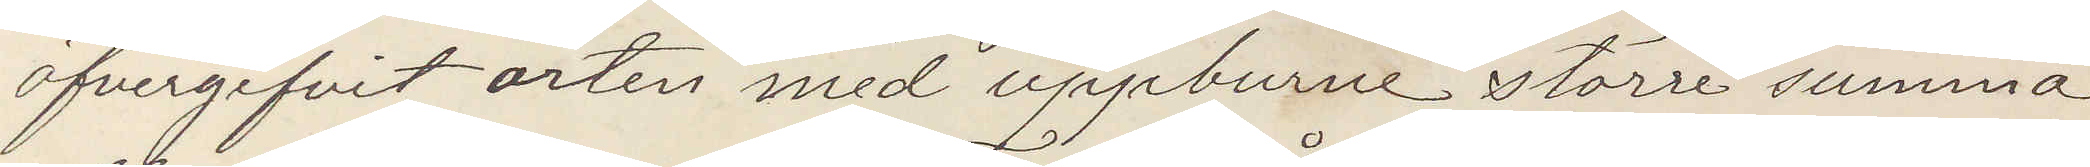öfvergifvit orten med uppburne större summa
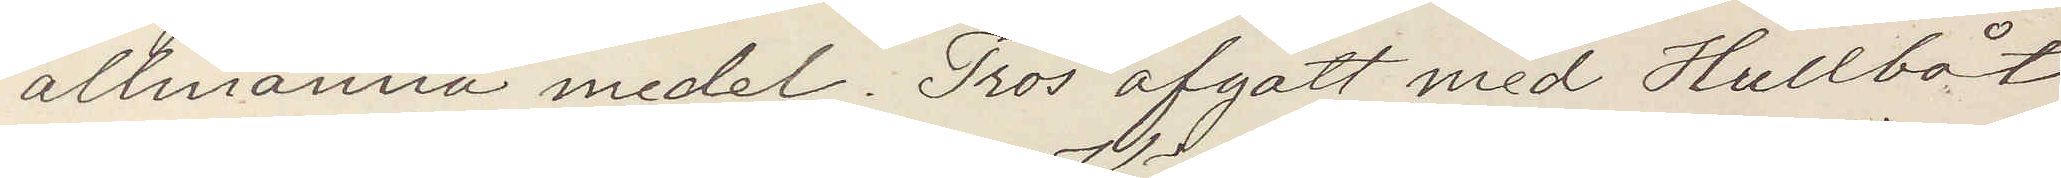allmänna medel. Tros afgått med Hullbåt
